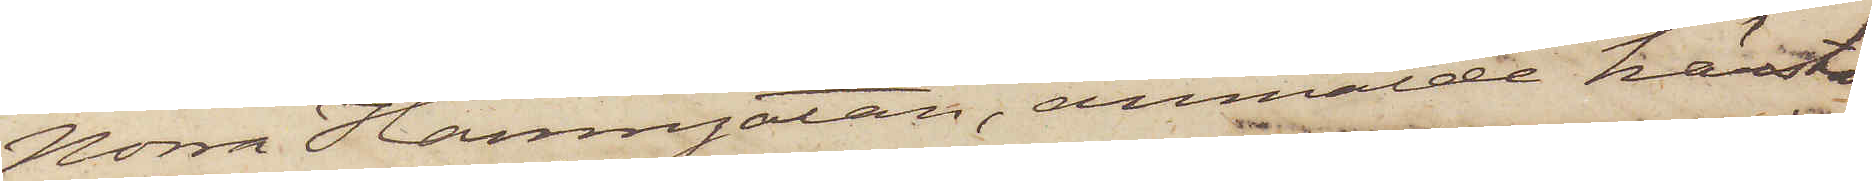Norra Hamngatan, anmälde härstä¬
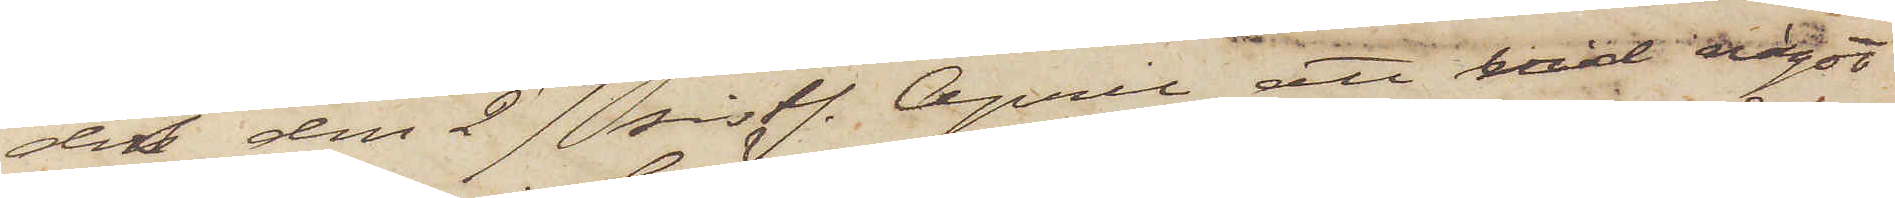des den 27 sistl. April att vid något
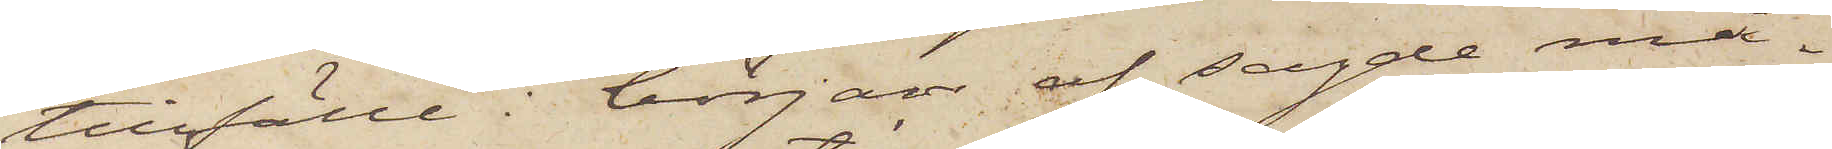tillfälle i början af sagde mån¬
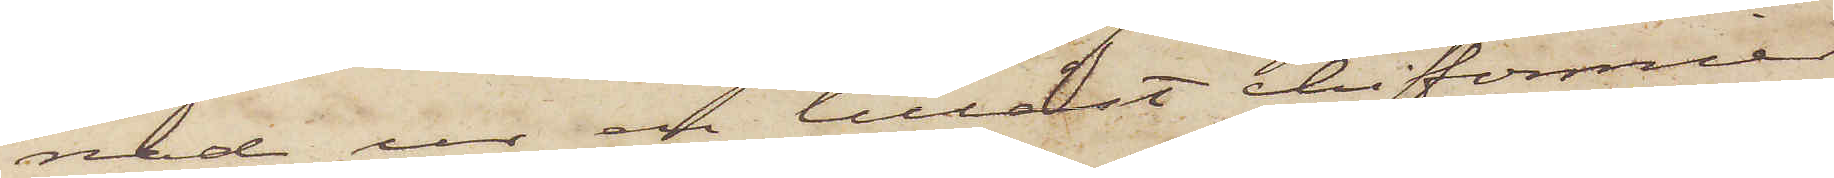nad ur en tillåst chifonnier
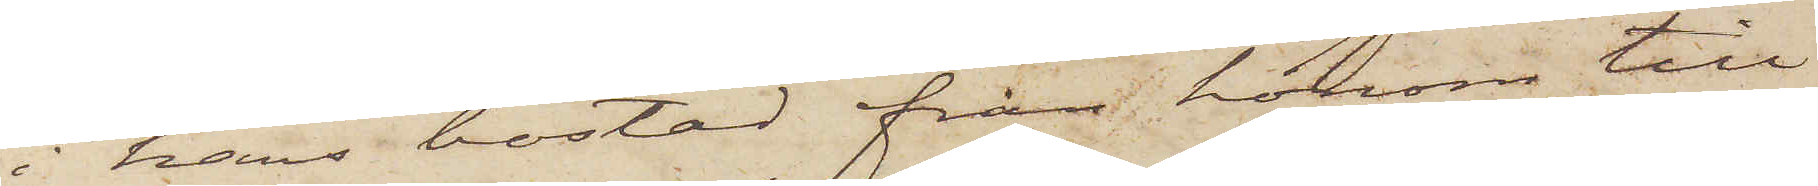i hans bostad från honom till¬
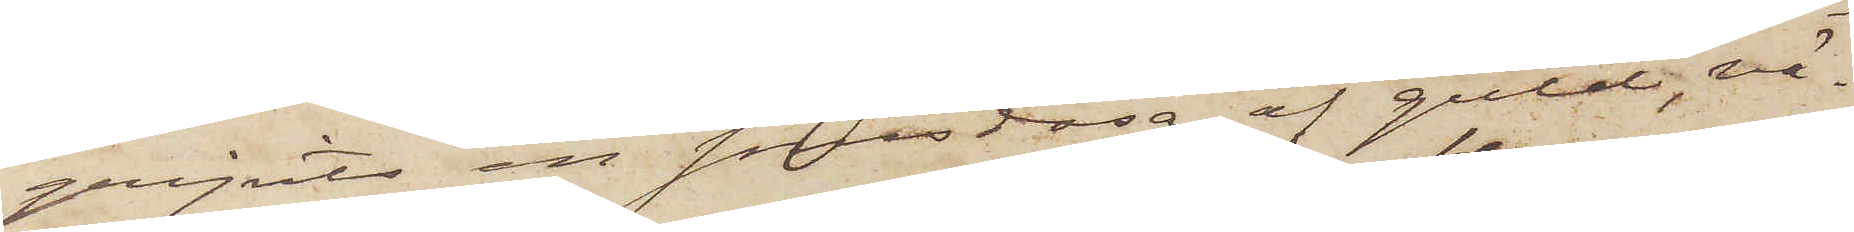gripits en snusdosa af guld, vä¬
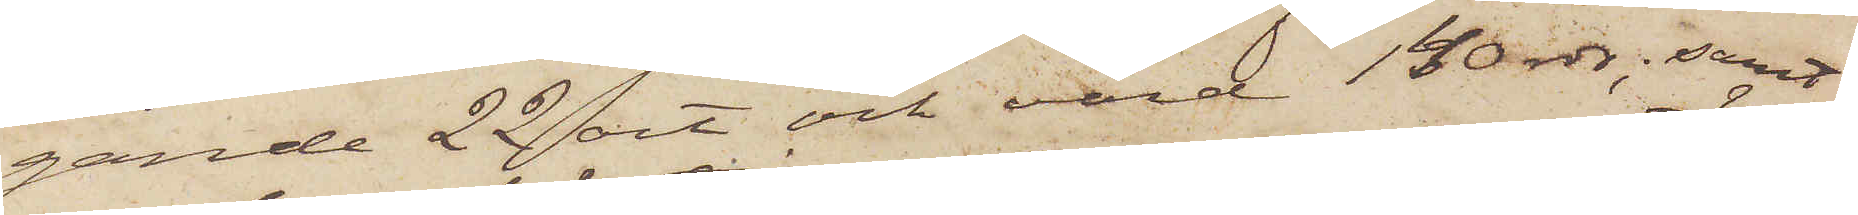gande 22 ort och värd 140 rdr; samt
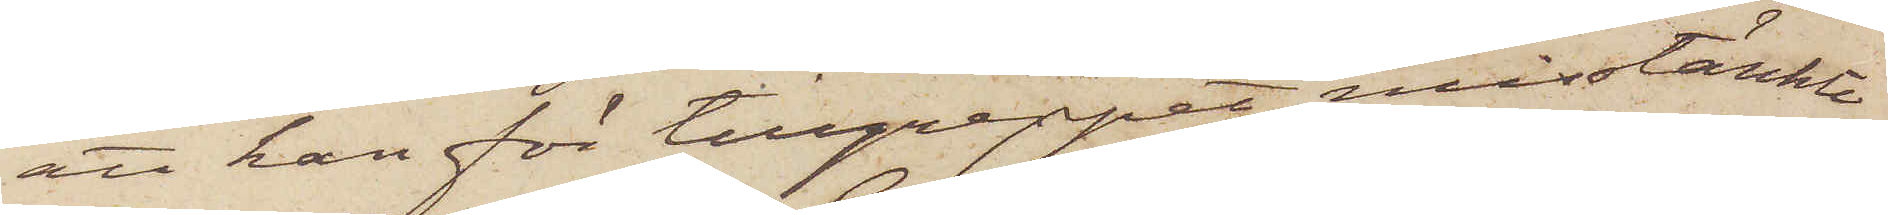att han för tillgreppet misstänkte
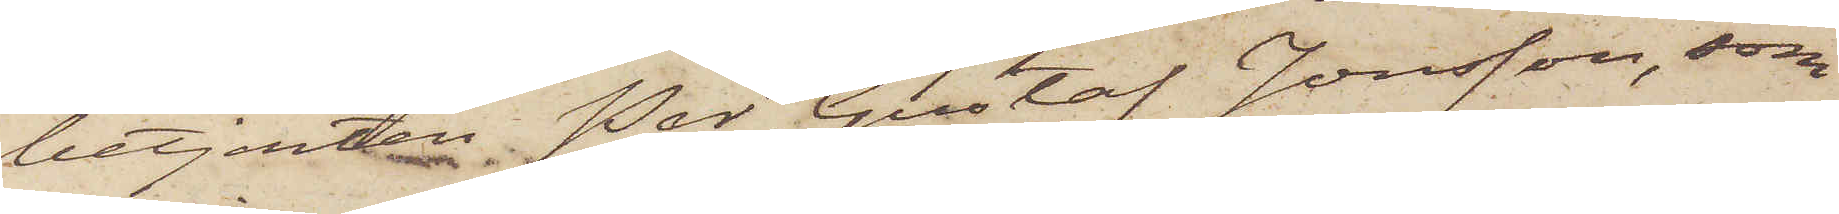betjenten Per Gustaf Jonsson, som
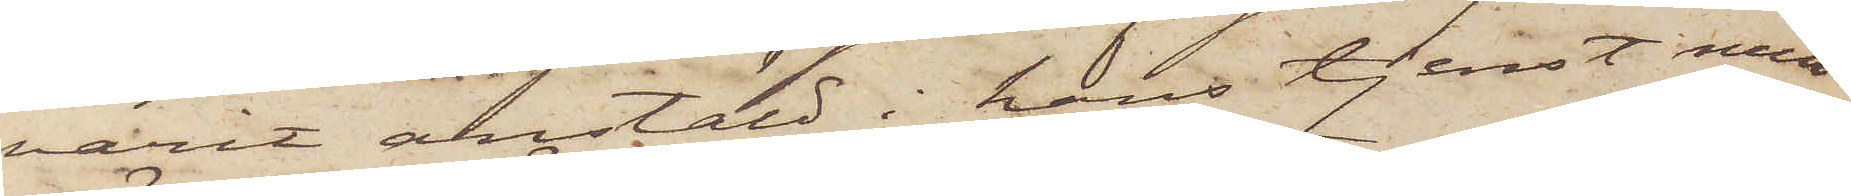varit anstäld i hans tjenst men
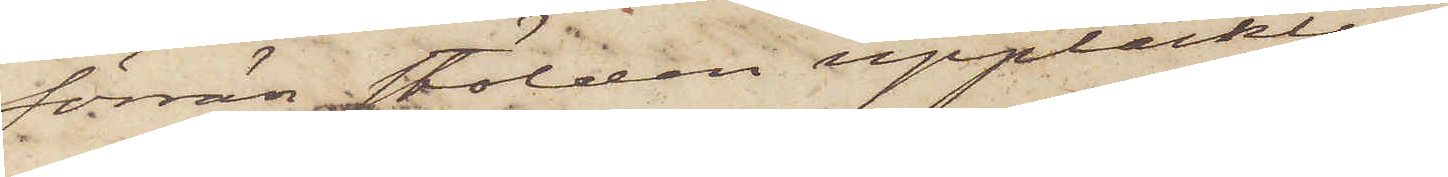förrän stölden upptäcktes,
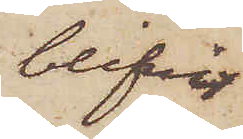blifvit
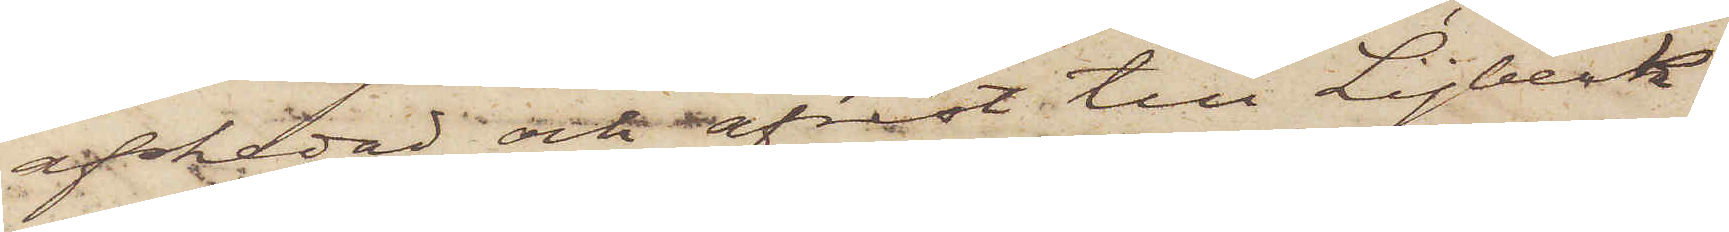afskedad och afrest till Lÿbeck
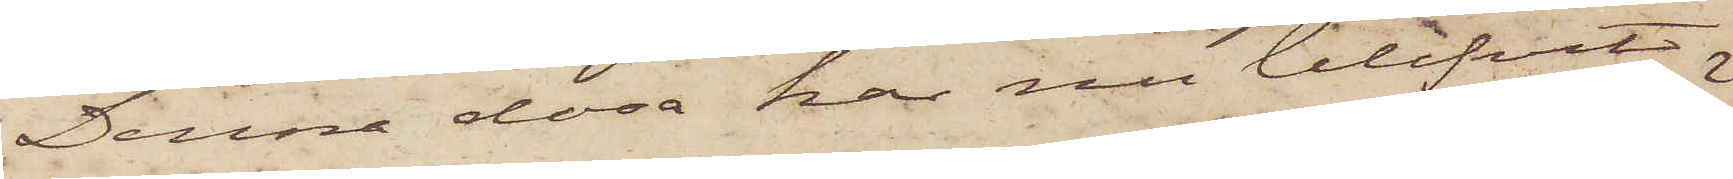Denna dosa har nu blifvit
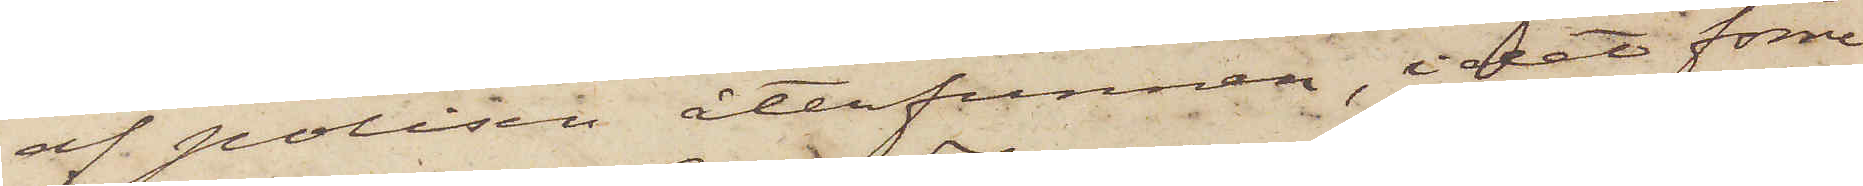af polisen återfunnen, i det förre
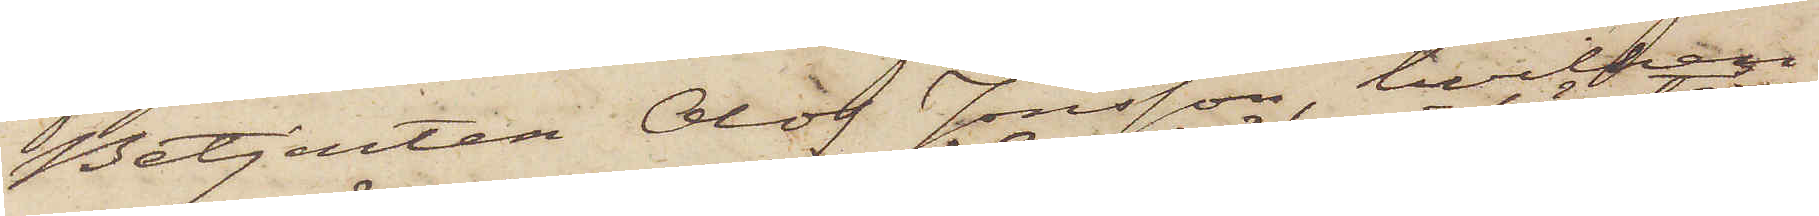Betjenten Olof Jonsson, hvilken
